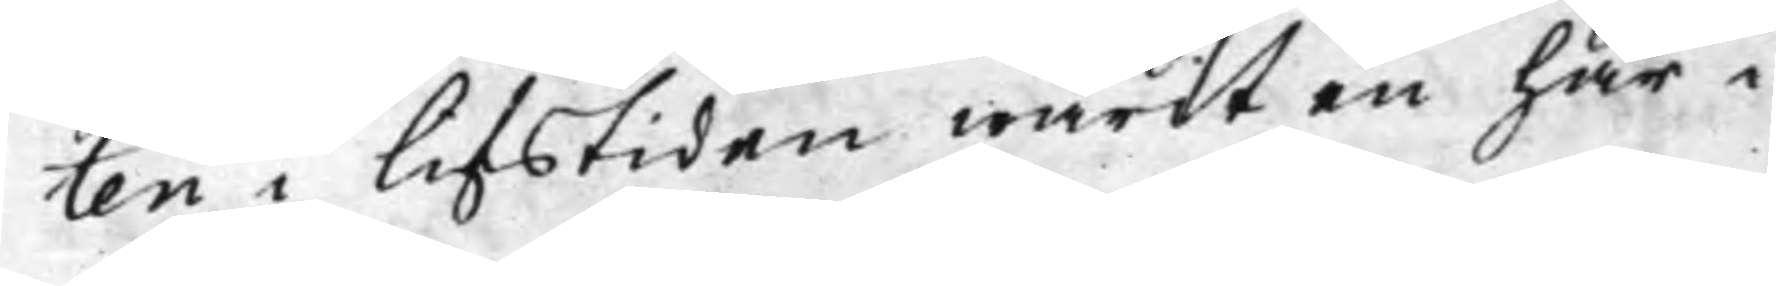ten i lifstiden warit en här i
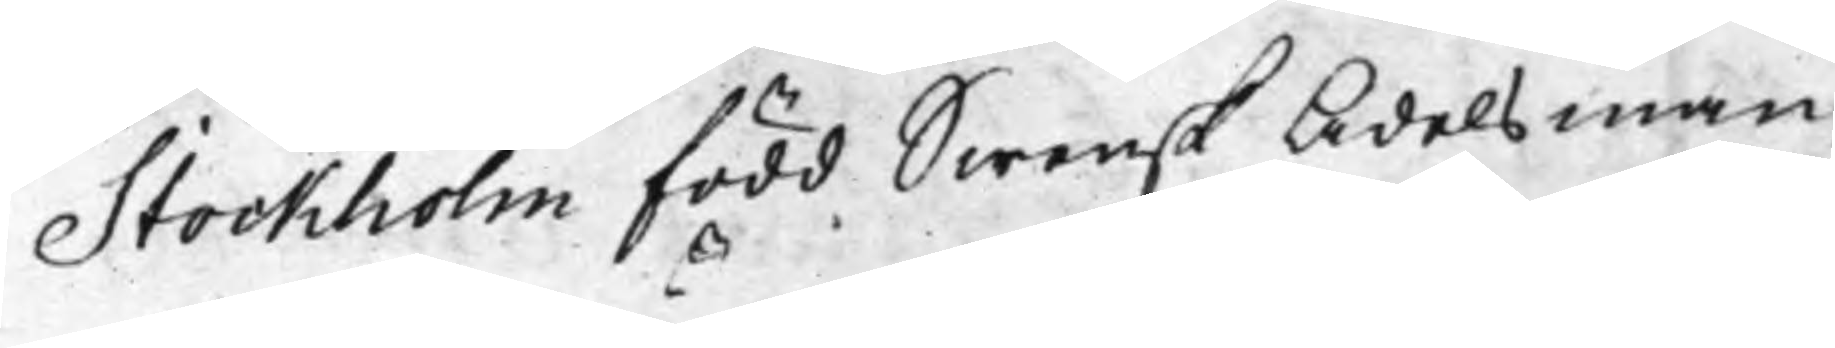Stockholm född Swensk Adelsman,
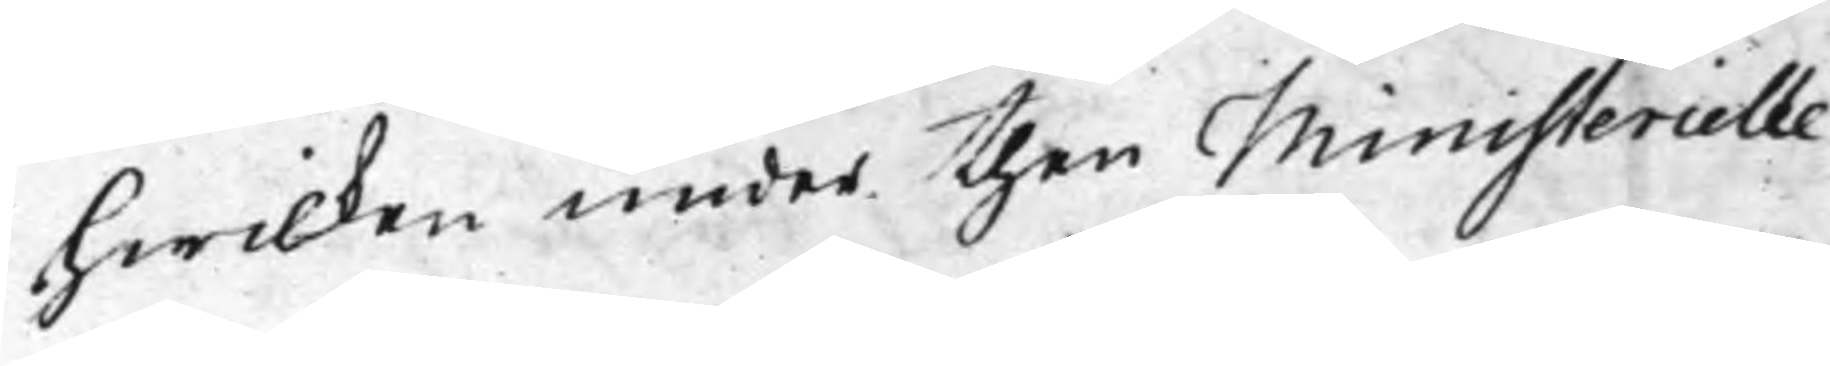hwilken under then Ministerielle
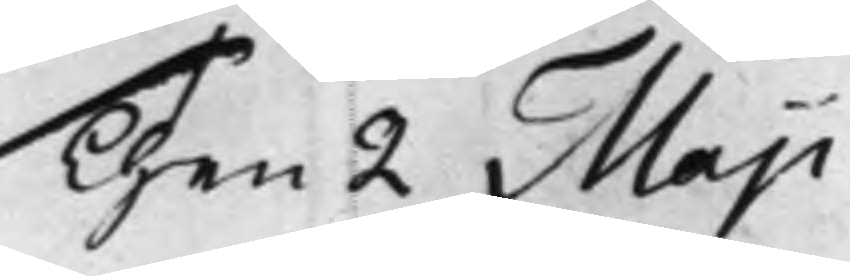Then 2 Maji
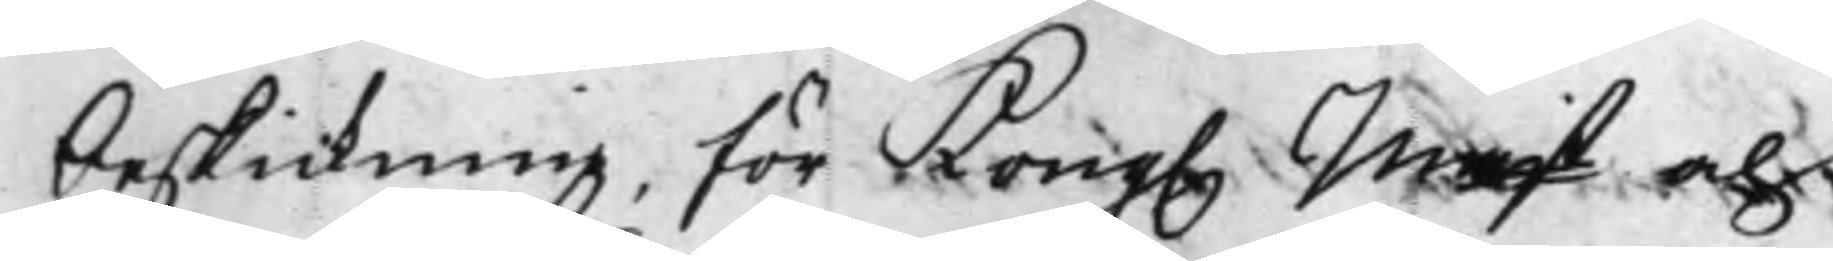beskickning, för Kong. Majt och 
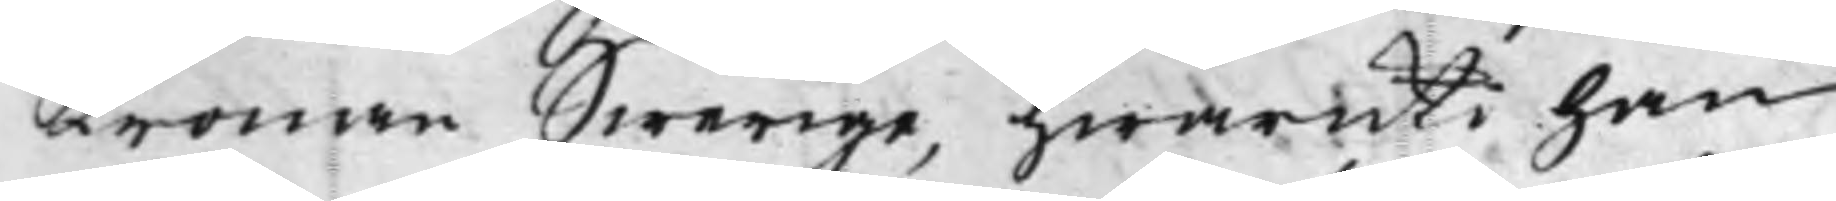Kronan Swerige, hwaruti han
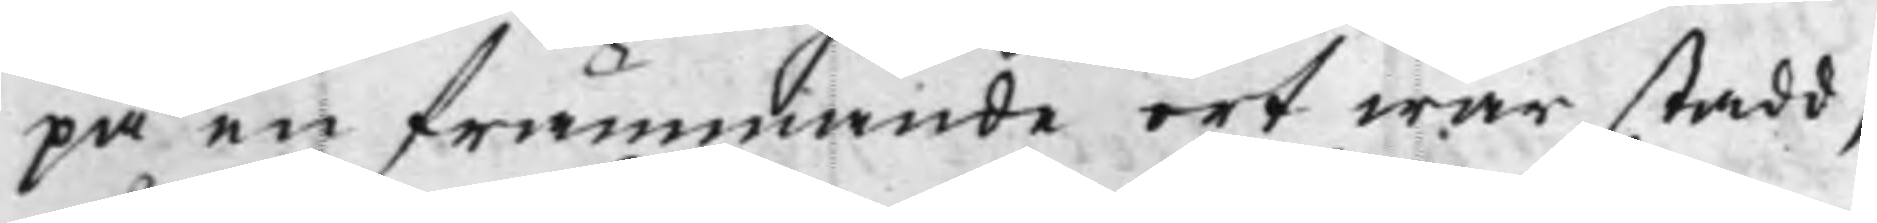på en främmande ort war stadd,
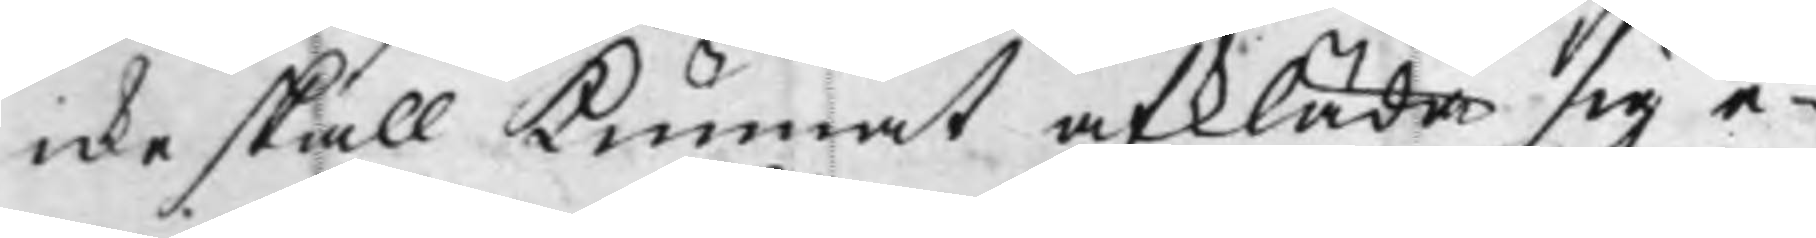icke skall Kunnat afkläda sig e¬
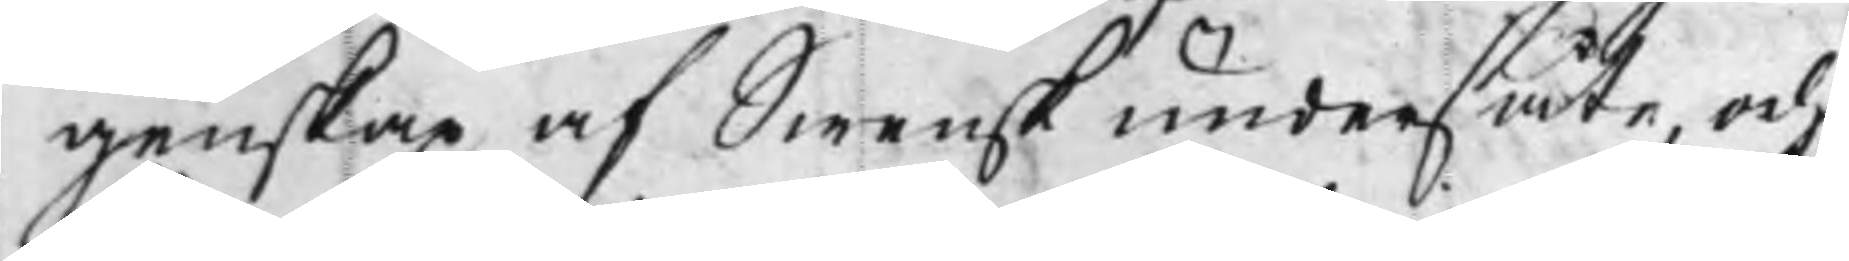genskap af Swensk undersåte, och
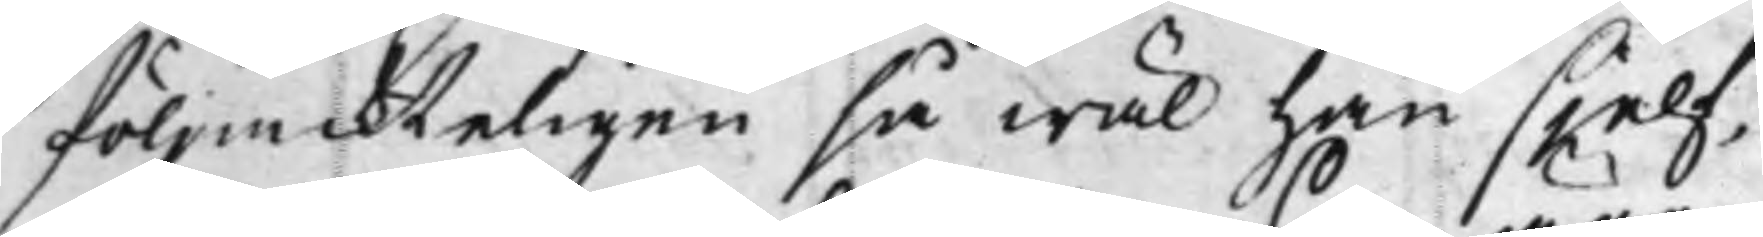följackteligen så wäl han sjelf,
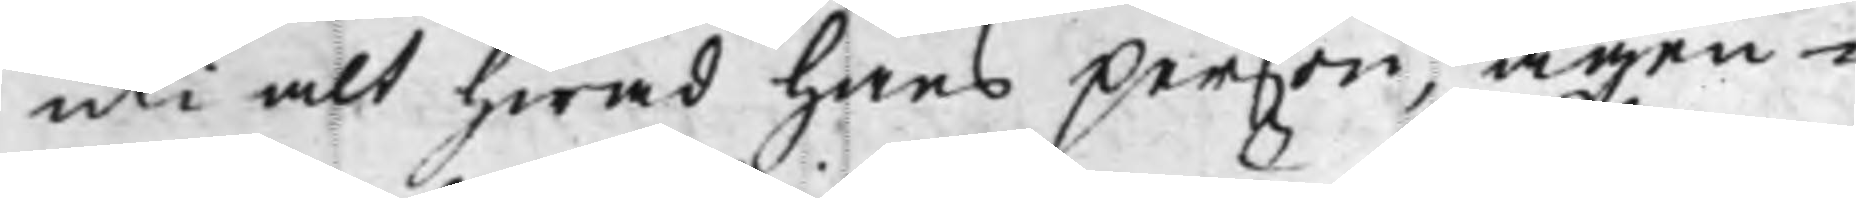uti alt hwad hans person, ägen¬
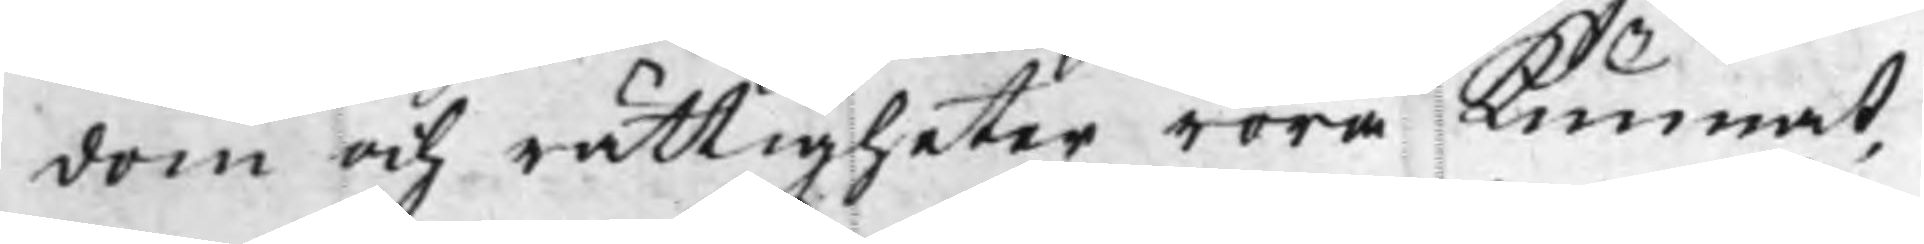dom och rättigheter röra Kunnat,
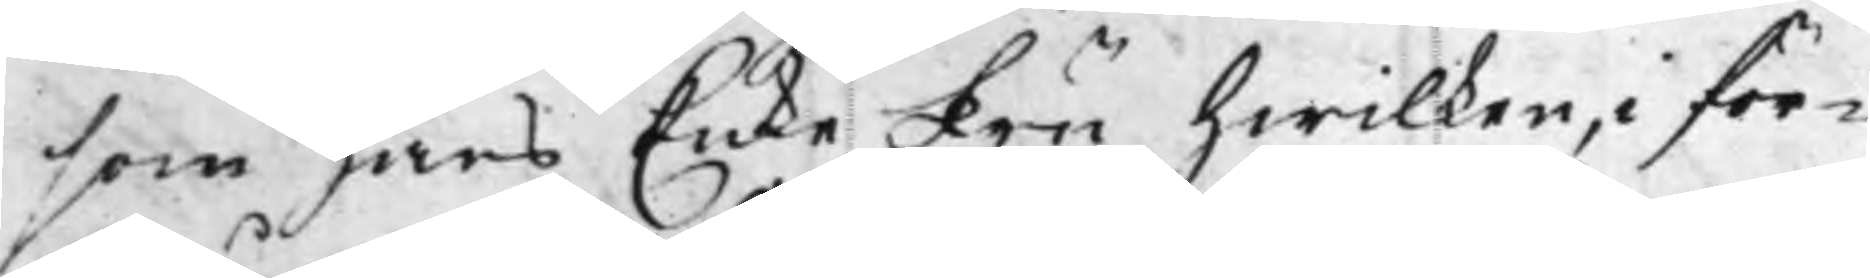som hans EnkeFru, hwilken, i för¬
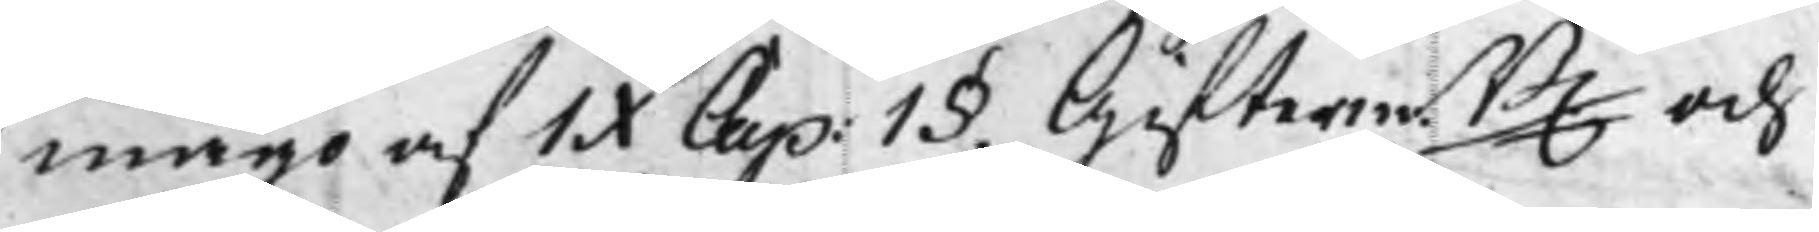mågo af IX Cap: 1§, Gifterm.B. och 
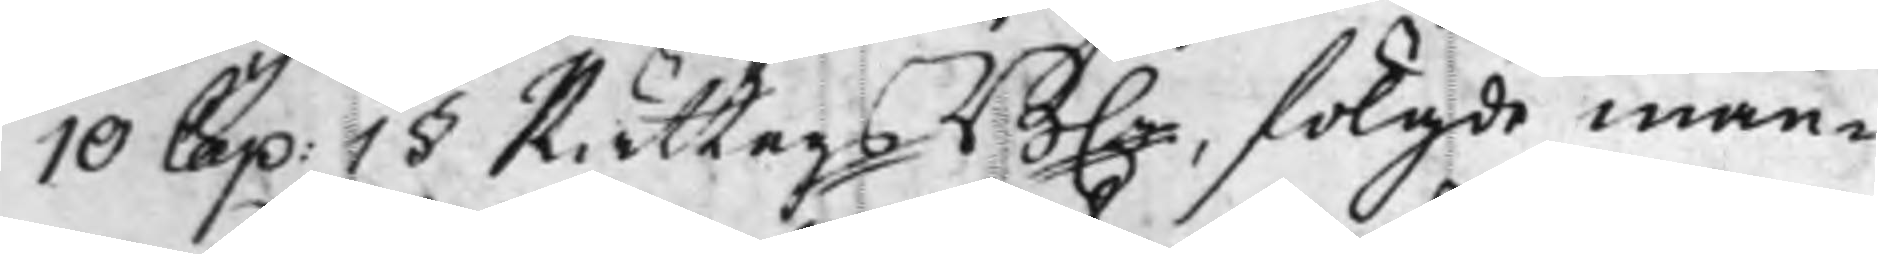10 Cap: 1§ RättegsB., fölgde man¬ 
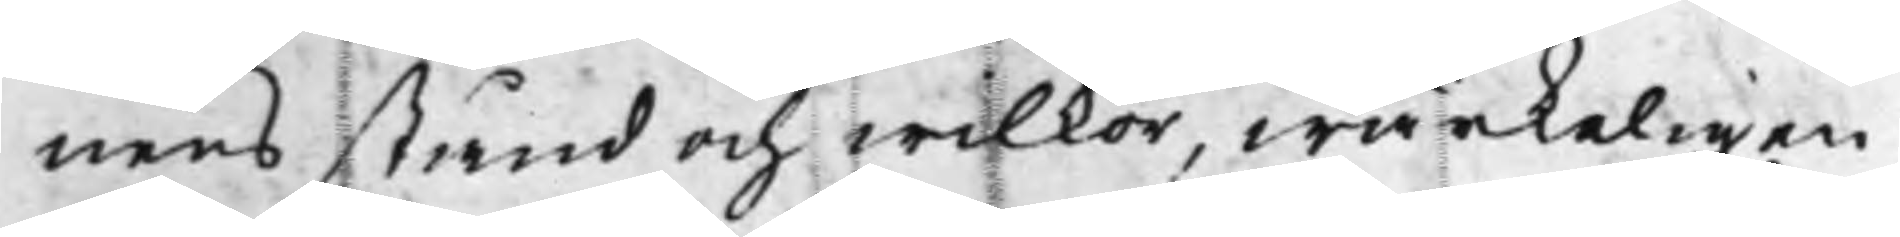nens stånd och wilkor, wärkeligen
